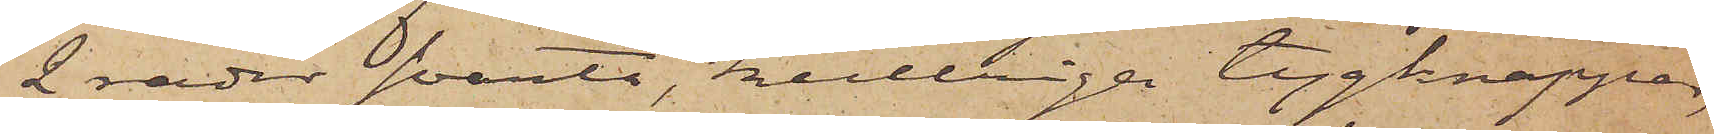2 rader svarta, kullriga tygknappar,
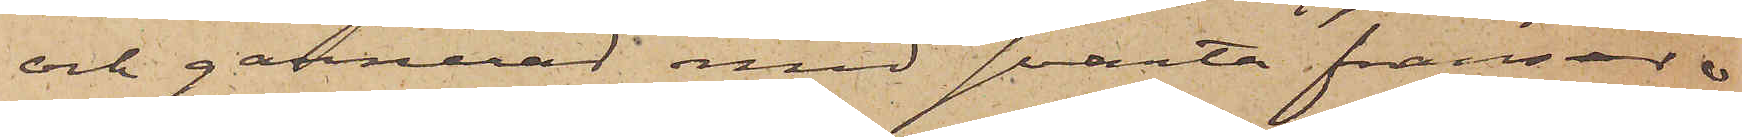och garnerad med svarta fransar
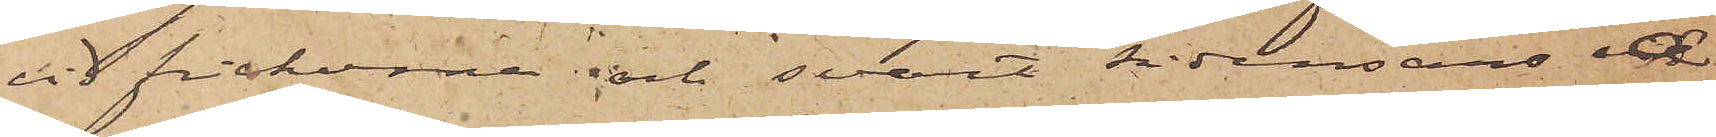vid fickorna och svart sidensars å 
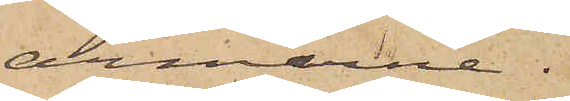armarne.
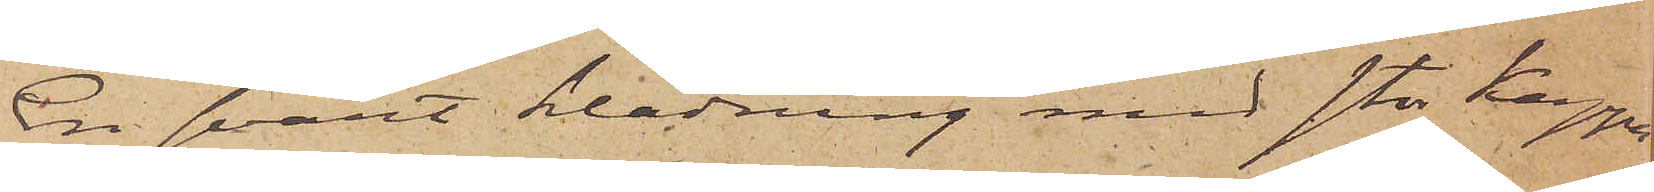En svart klädning med stor Kappa
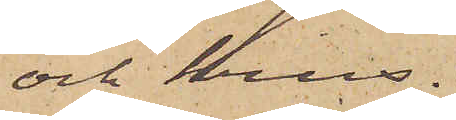och krus.
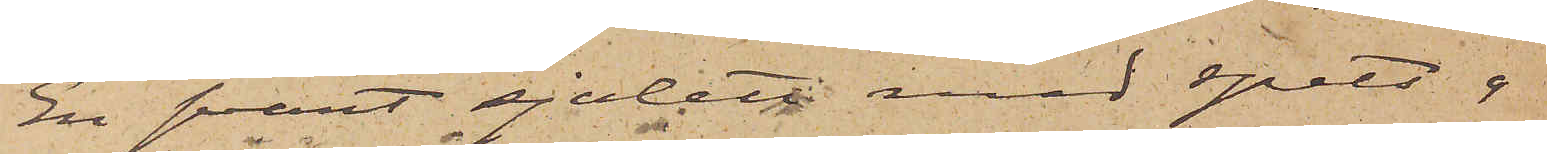En svart sjalett med spets o
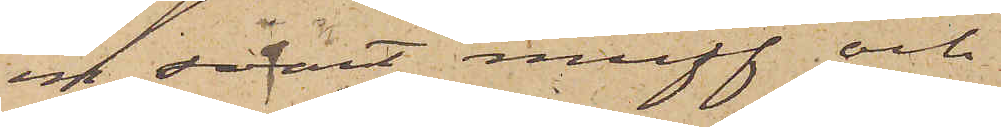en svart muff och
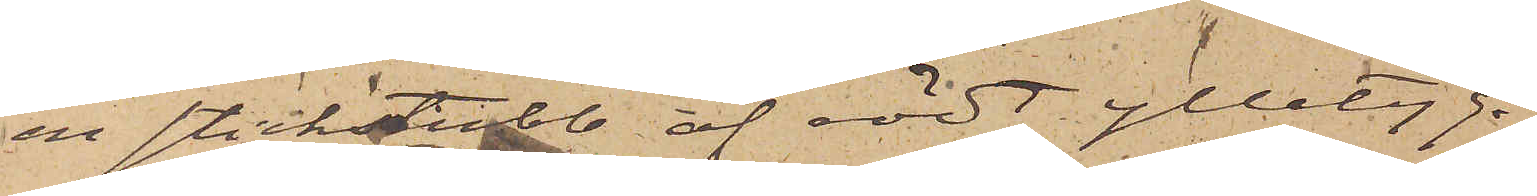en stickstubb af rödt ylletyg.
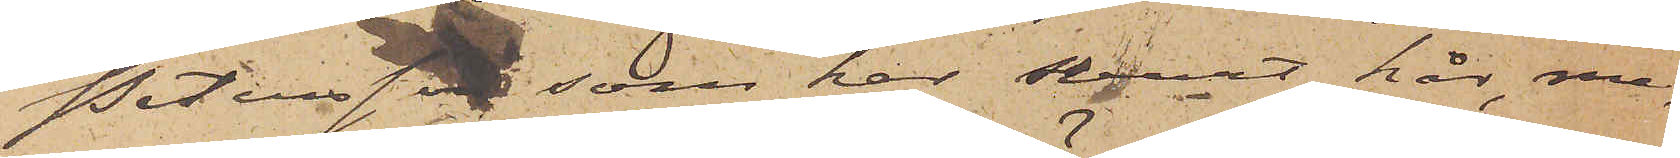Petersson, som har svart hår, me¬
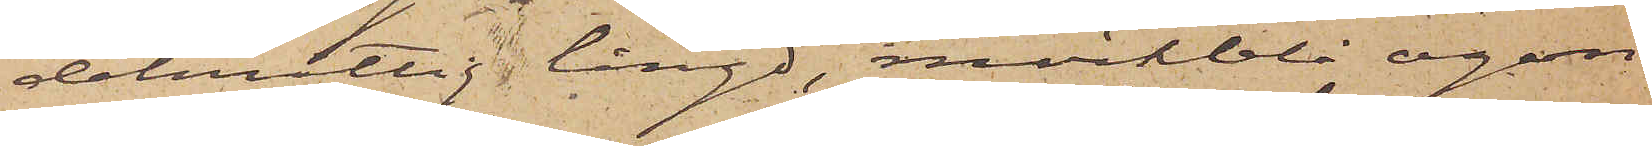delmåttig längd, mörkblå ögon,
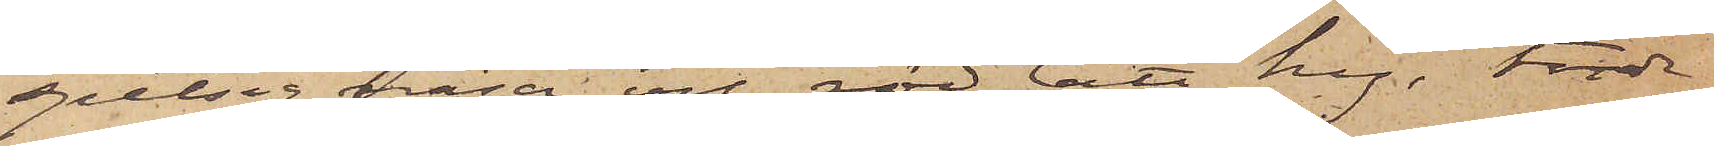spetsig näsa och rödlätt hy, torde
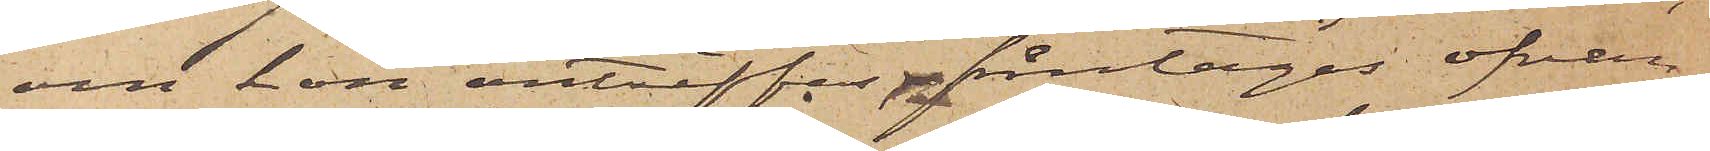om hon anträffas, fråntagas ofvan¬
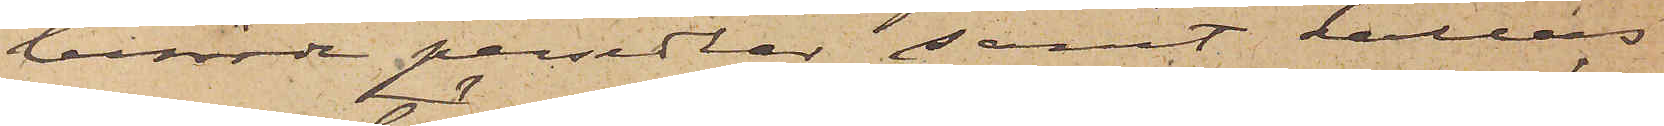berörde persedlar samt kallas
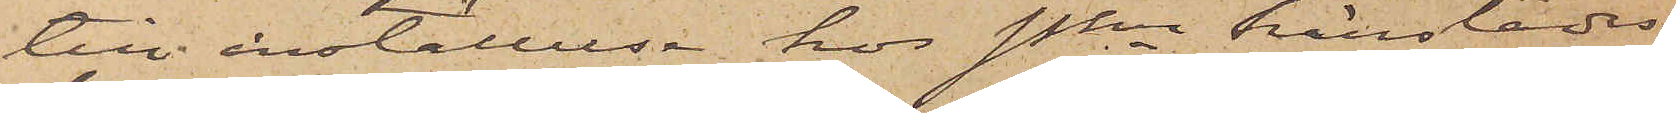till inställelse hos Pkn härstädes
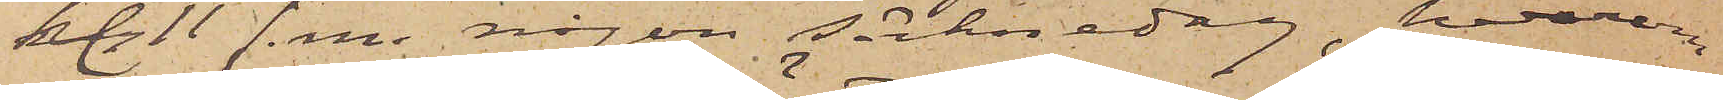kl. 11 f. m. någon söcknedag, hvarom
